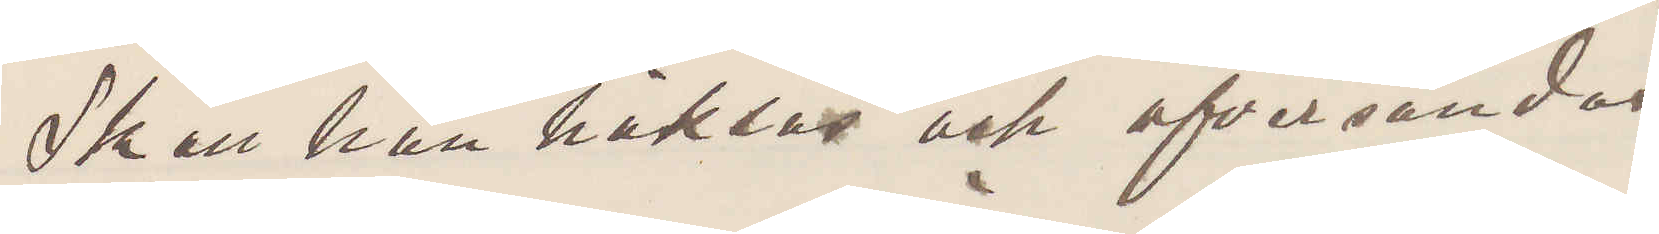Skall han häktas och afsändas.
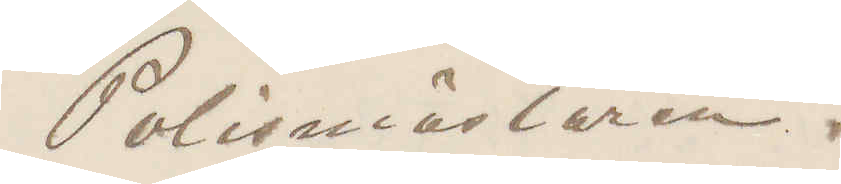Polismästaren.
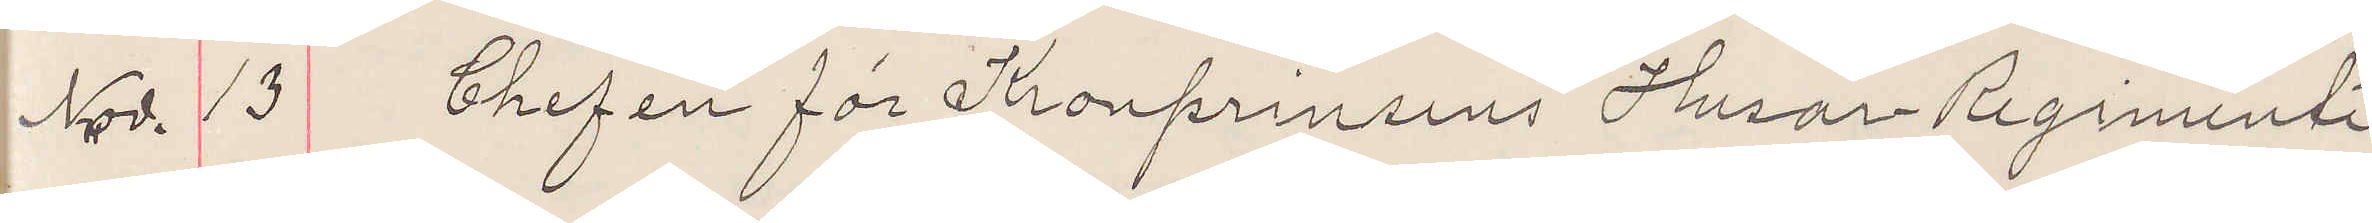Nov. 13 Chefen för Kronprinsens Husar Regimente
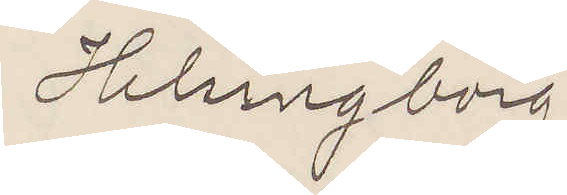Helsingborg.
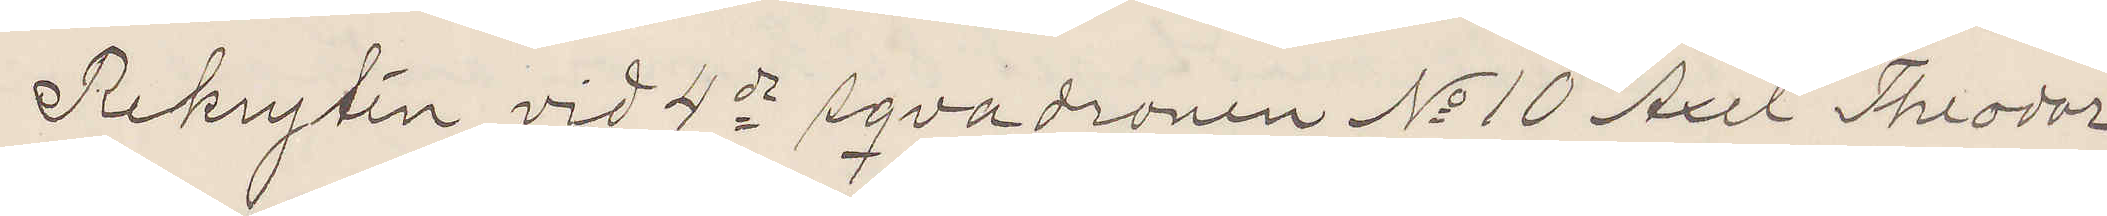Rekrytin vid 4de sqvadronen No 10 Axel Theodor
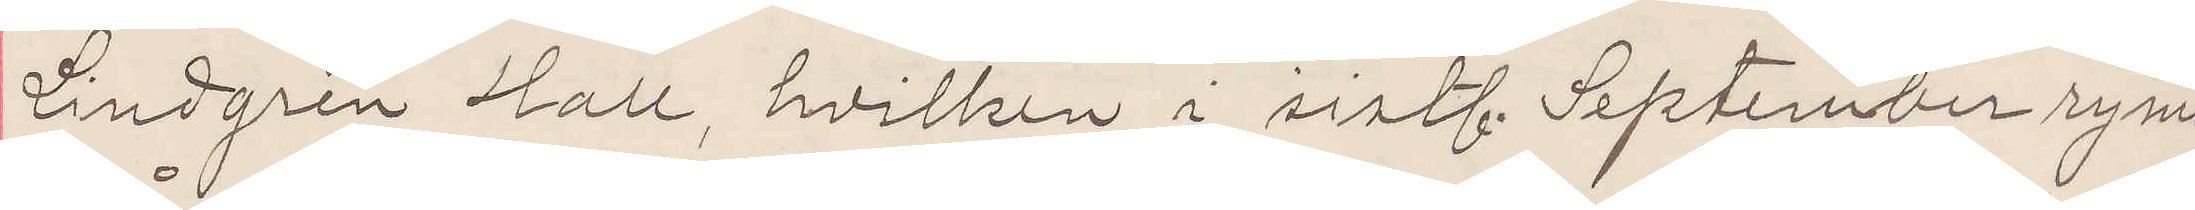Lindgren Hall, hvilken i sistl. September rymt
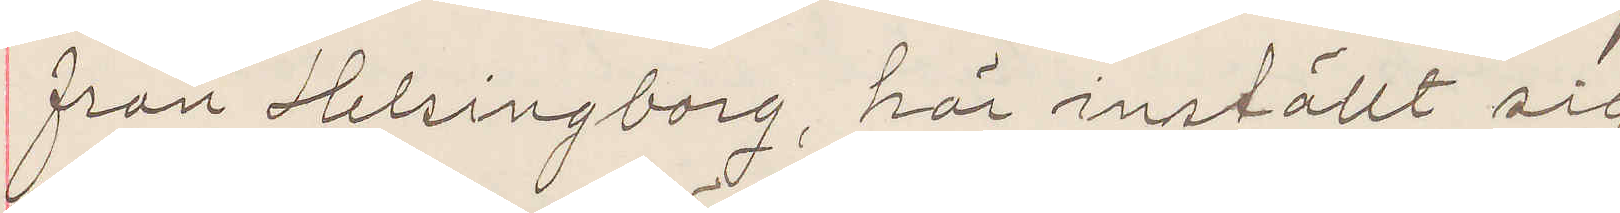från Helsingborg, här inställt sig
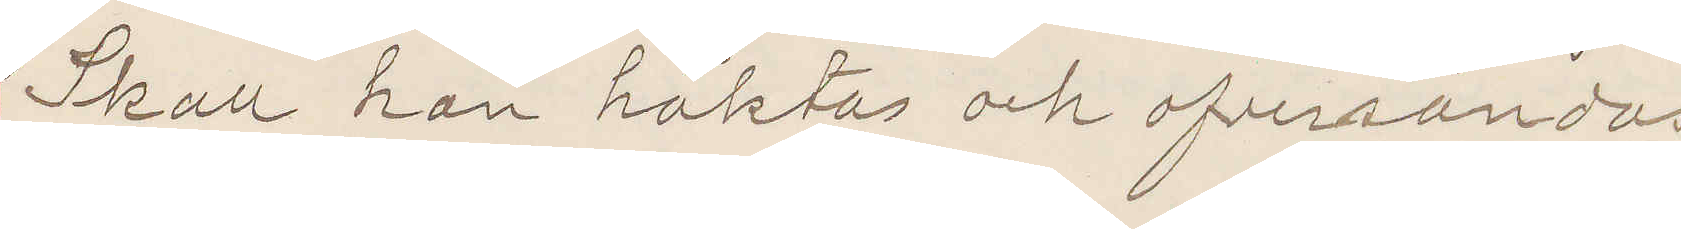Skall han häktas och ofversändas
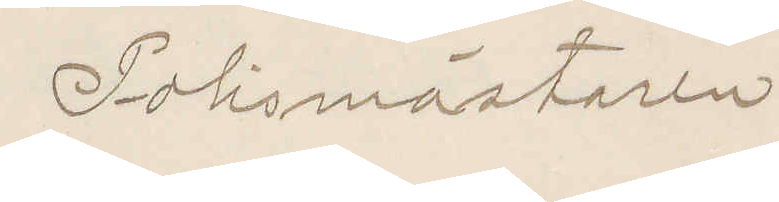Polismästaren.
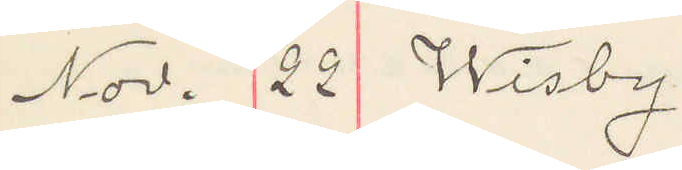Nov. 22 Wisby
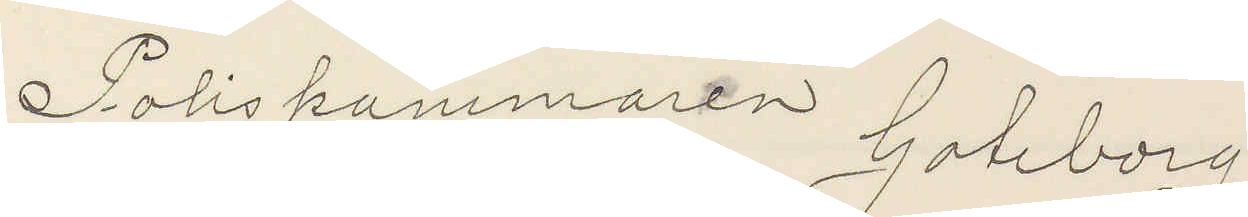Poliskammaren Goteborg
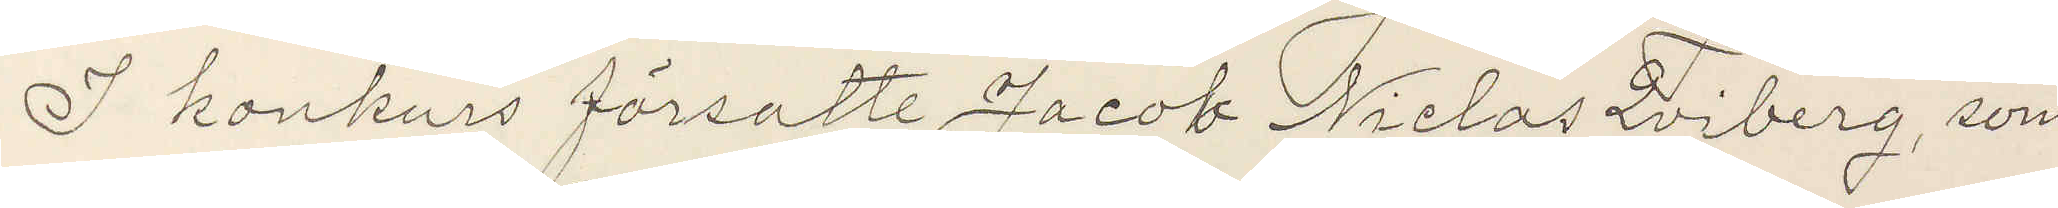I konkurs försatte Jacob Niclas Qviberg, som
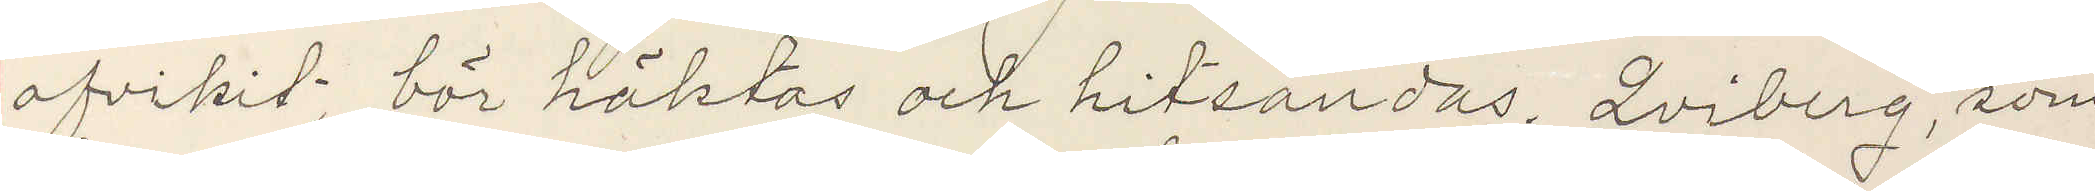afvikit; bör häktas och hitsandas. Qviberg som
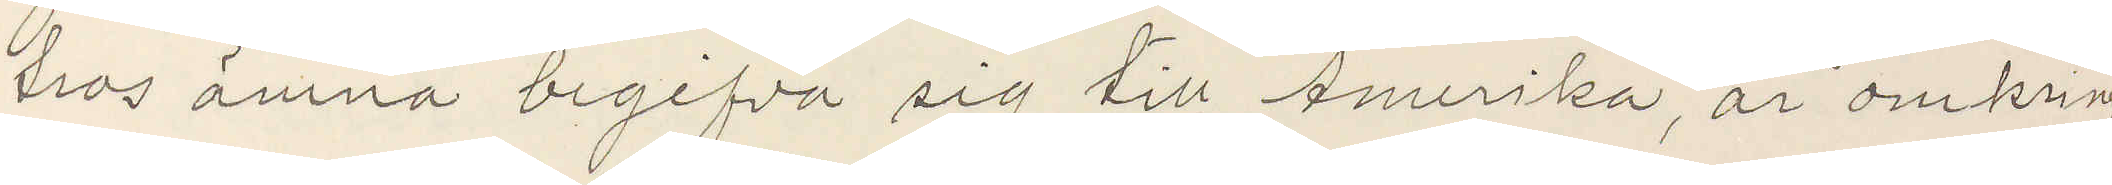tros ämna begifva sig till Amerika, är omkring
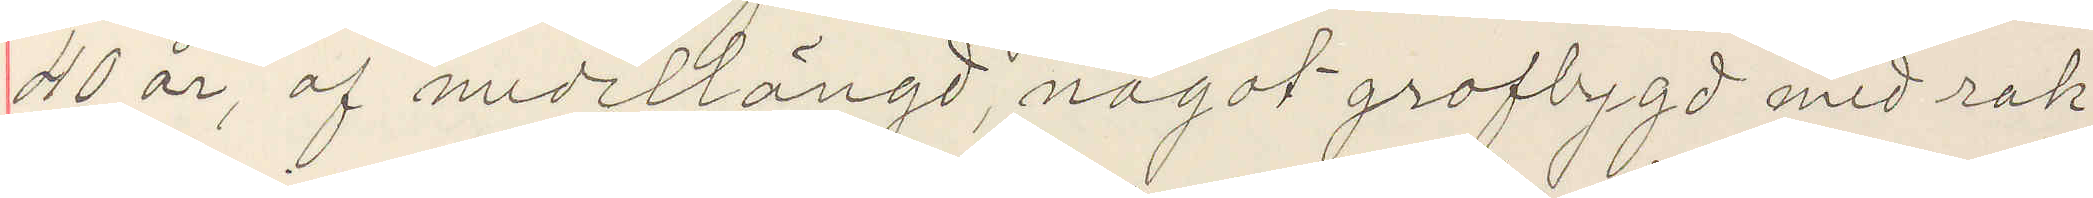40 år, af medellängd, något grofbygd med rak
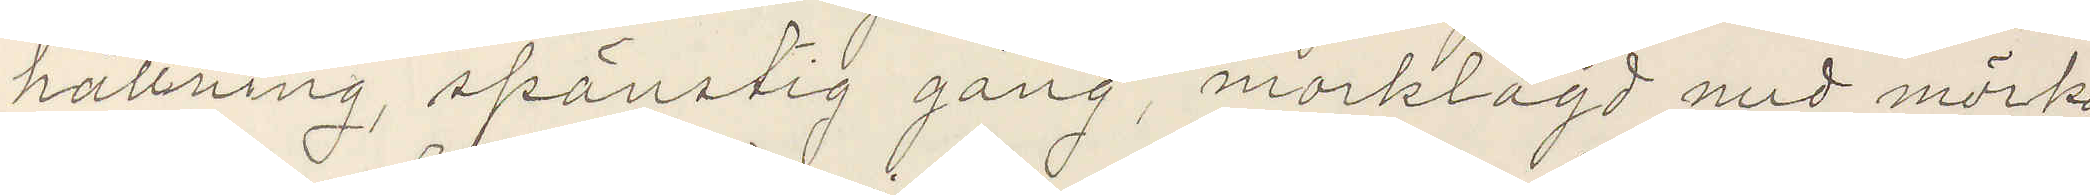hållning, spänstig gång, morklagd med mörk...
